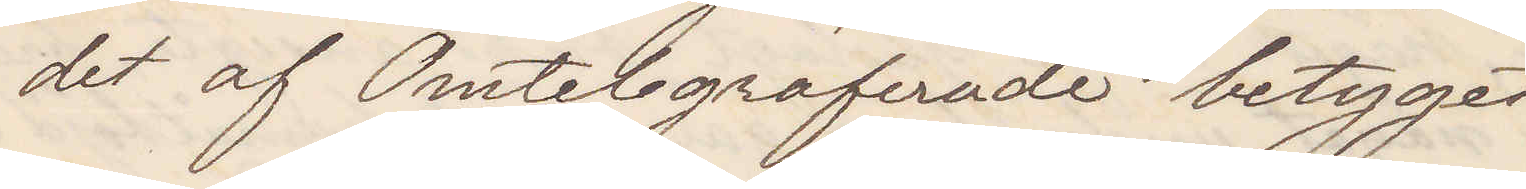det af Omtelegraferade betyget
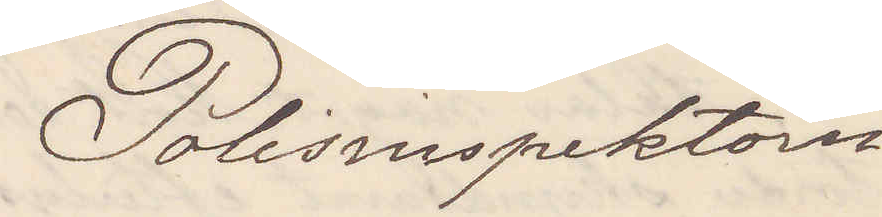Polisinspektorn.
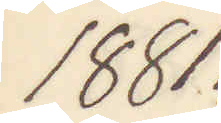1881.
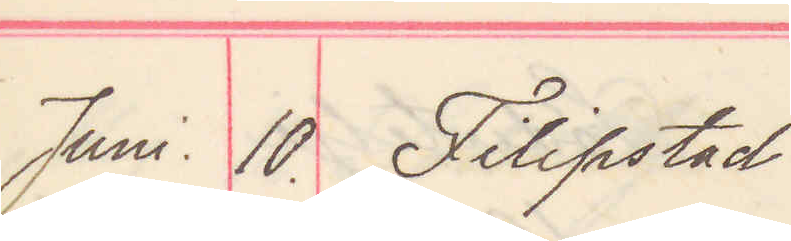Juni 10. Filipstad
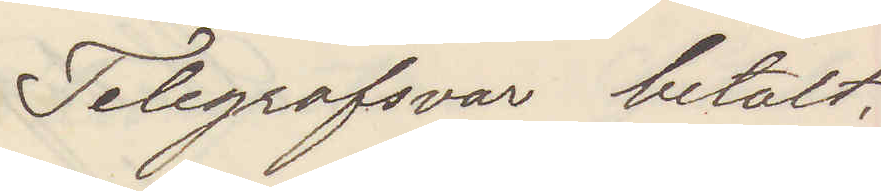Telegrafsvar betalt.
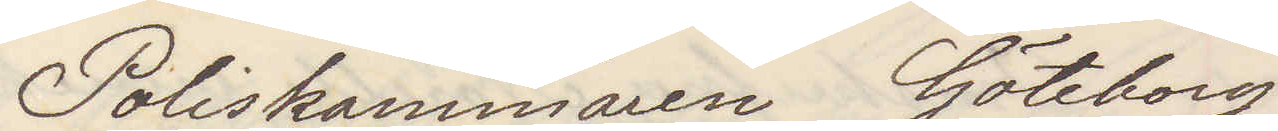Poliskammaren Göteborg
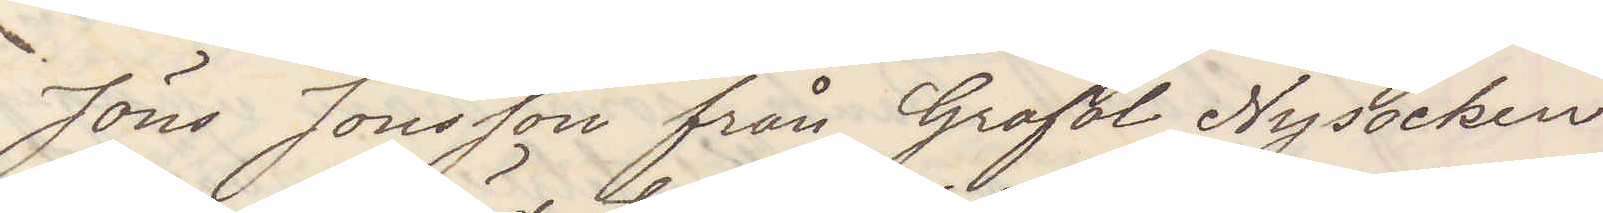Jöns Jonsson från Grafol Ny socken
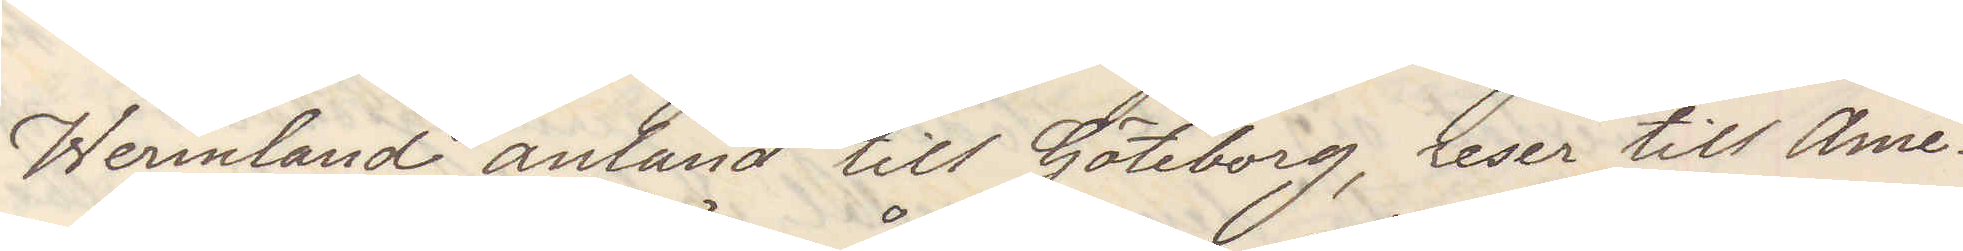Wermland anländ till Göteborg, reser till Ame¬
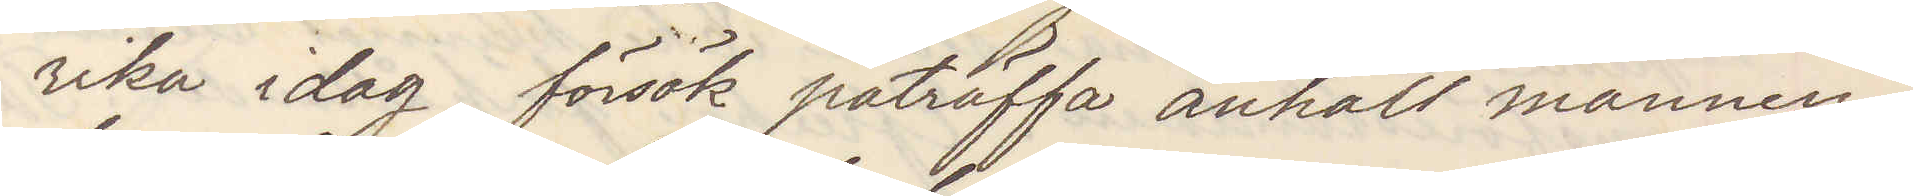rika idag försök påträffa anhåll mannen,
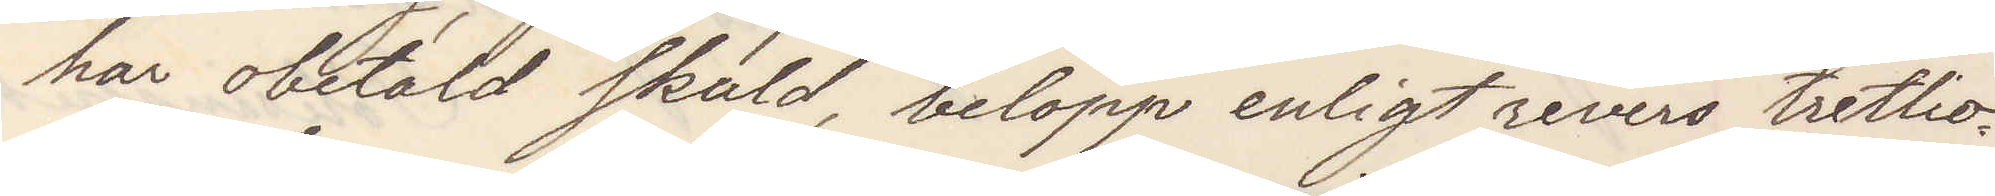har obetald skuld, belopp enligt revers trettio¬
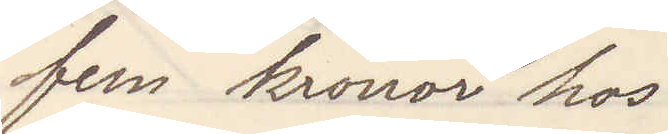fem kronor hos
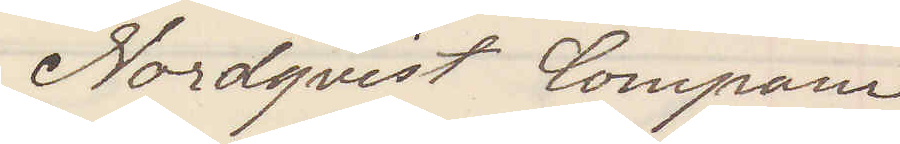Nordqvist Compani
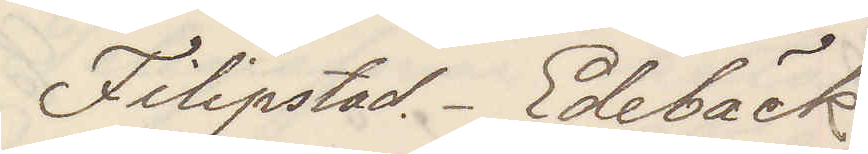Filipstad. Edebäck
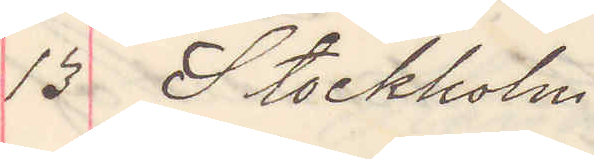13 Stockholm
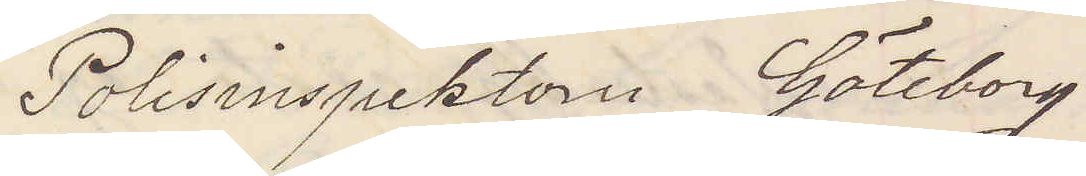Polisinspektorn Göteborg
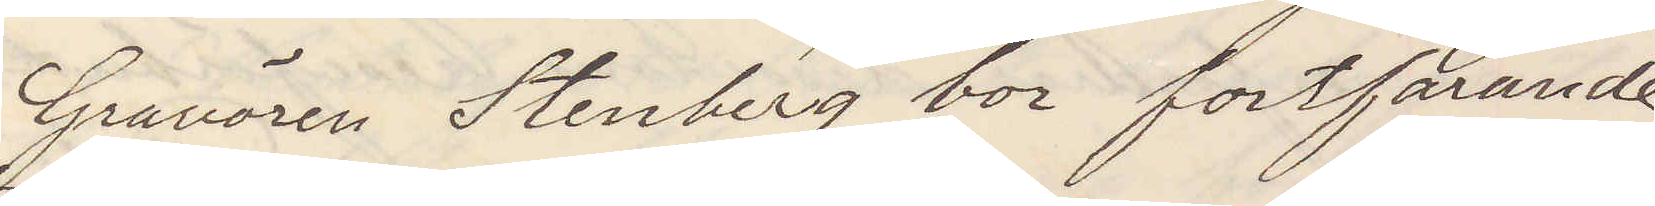Gravören Stenberg bor fortfarande
